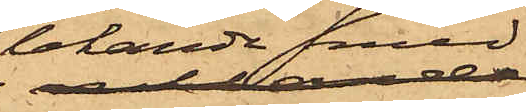lekande med
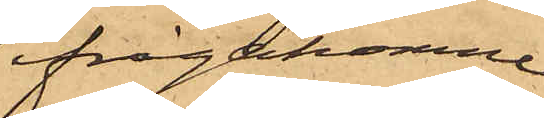ifrågakomne
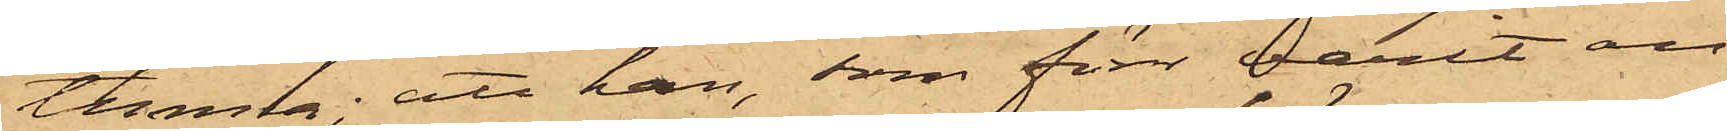tunna; att han, som förr varit an¬
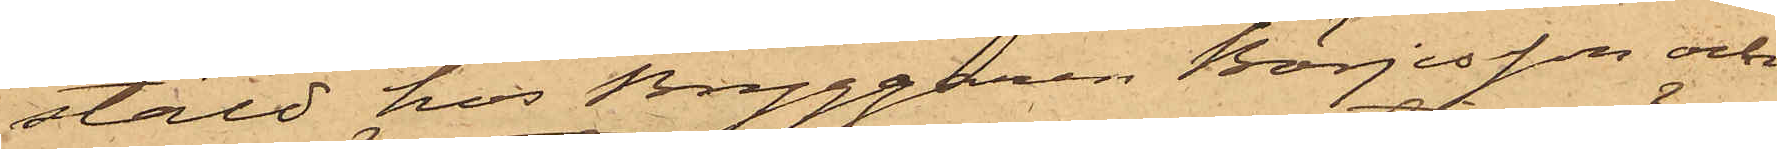stäld hos Bryggaren Börjesson och
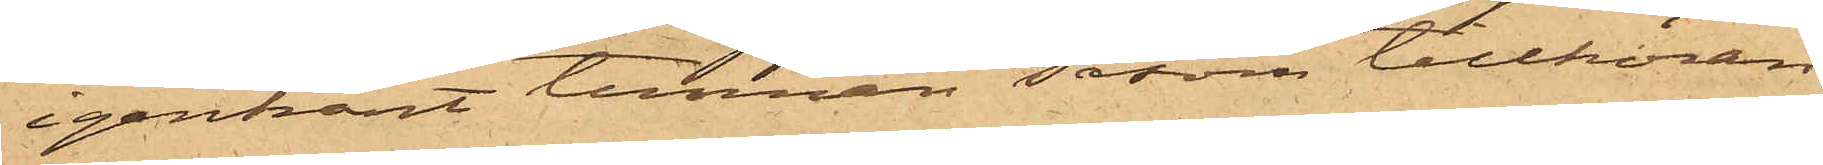igenkänt tunnan såsom tillhöran¬
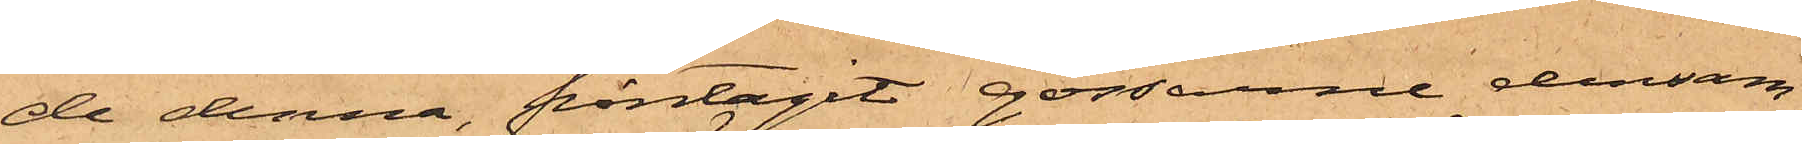de denna, fråntagit gossarne densam¬
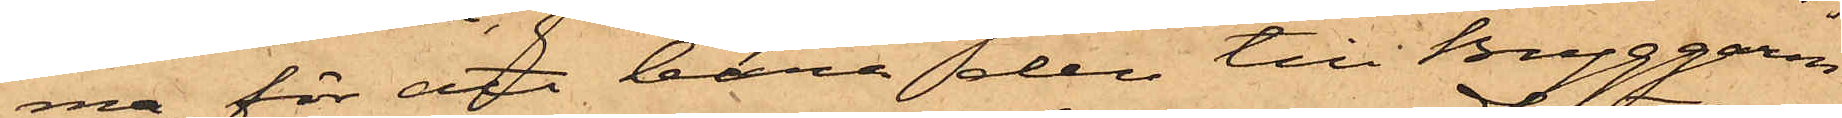ma för att bära den till Bryggaren
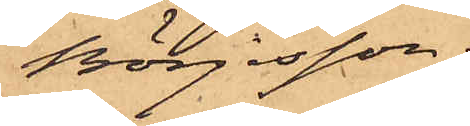Börjesson;
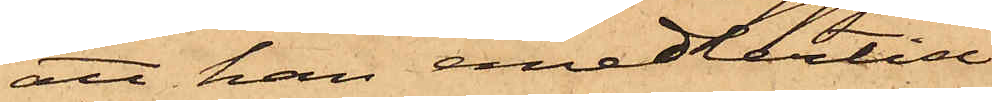att han emedlertid
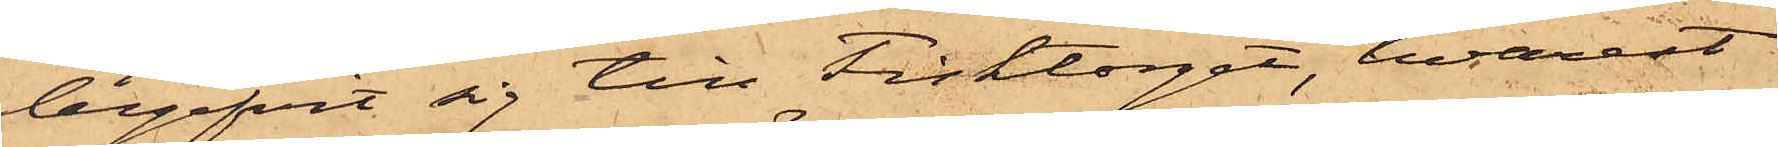begifvit sig till Fisktorget, hvarest
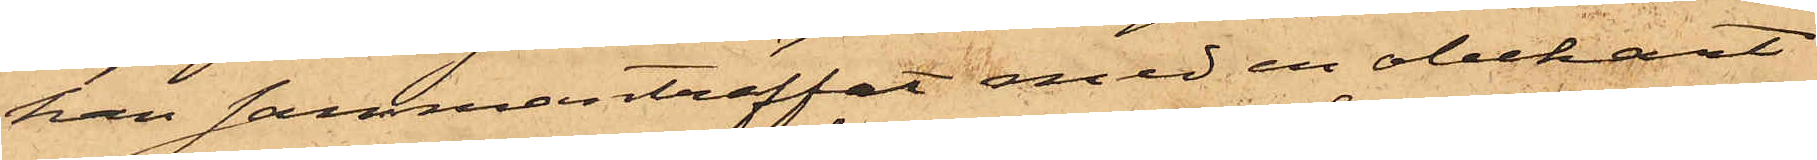han sammanträffat med en obekant
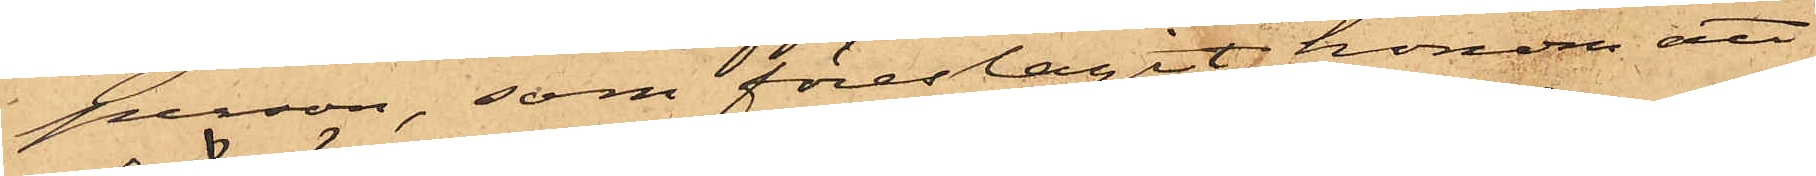person, som föreslagit honom att
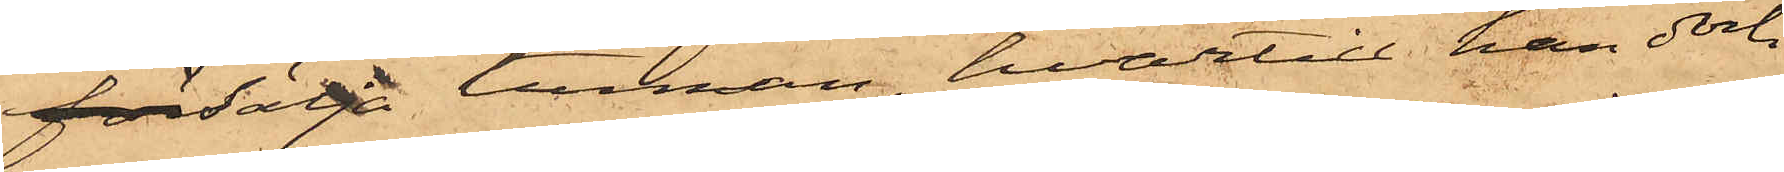försälja tunnan, hvartill han dock
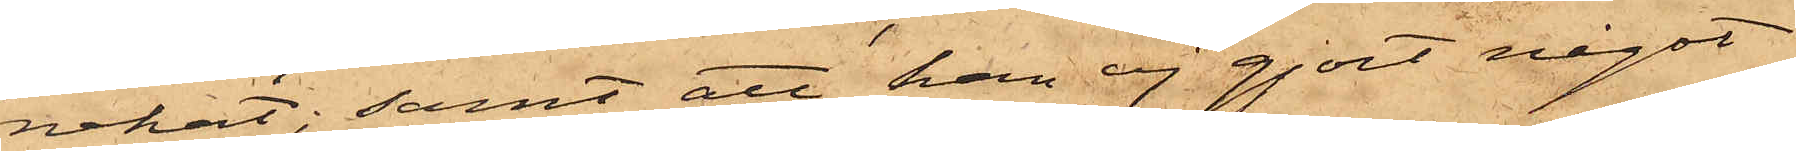nekat; samt att han ej gjort något
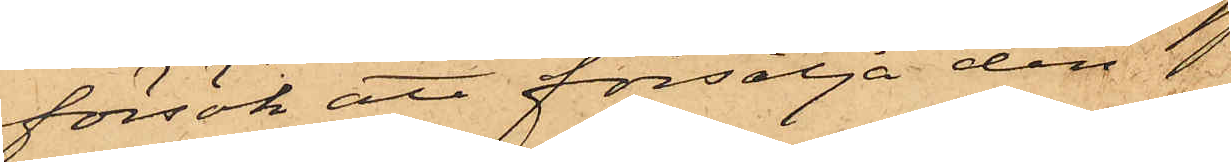försök att försälja den 
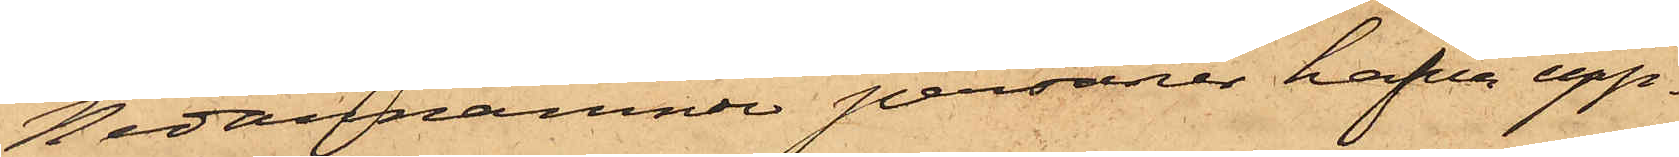Nedannämnde personer hafva upp¬
